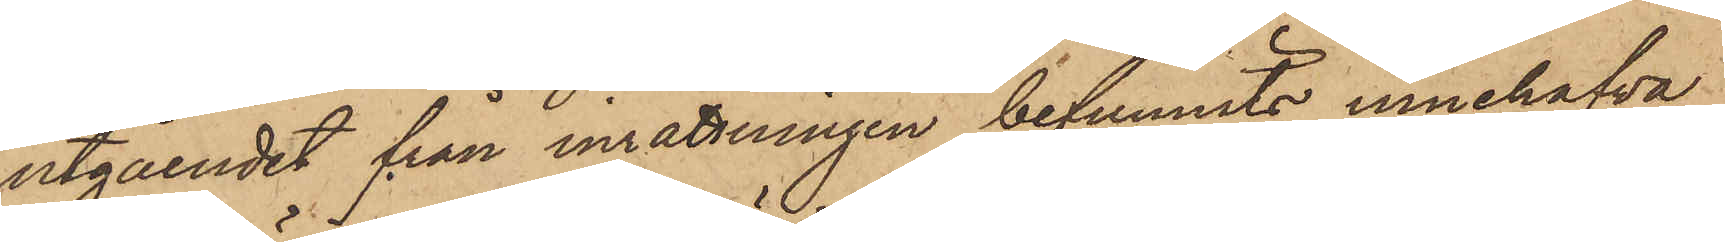utgåendet från inrättningen befunnits innehafva
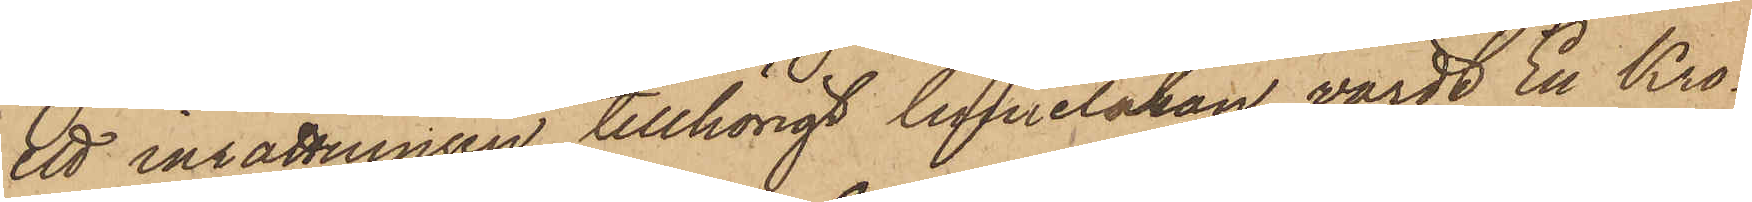ett inrättningen tillhörigt linnelakan, värdt En Kro¬
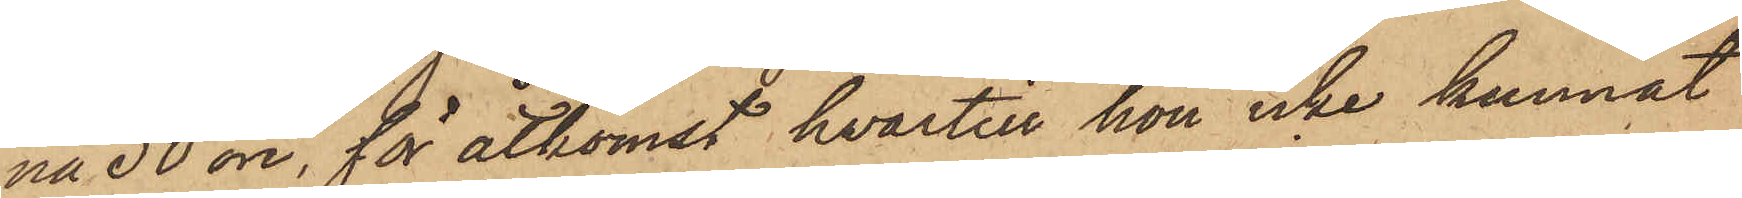na 50 öre, för åtkomst hvartill hon icke kunnat
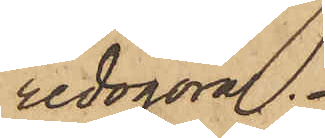redogöra.
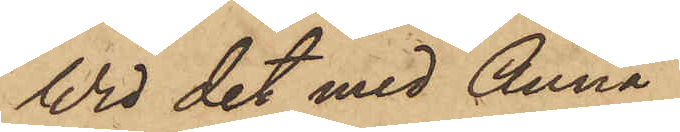Wid det med Anna
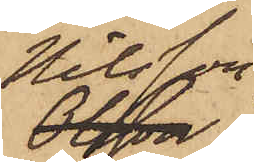Nilsson
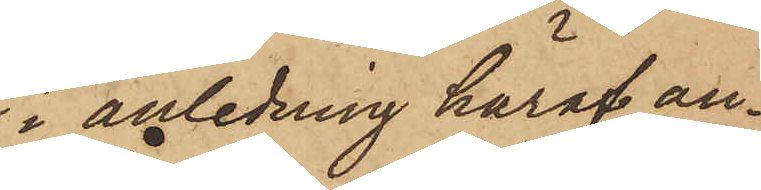i anledning häraf an¬
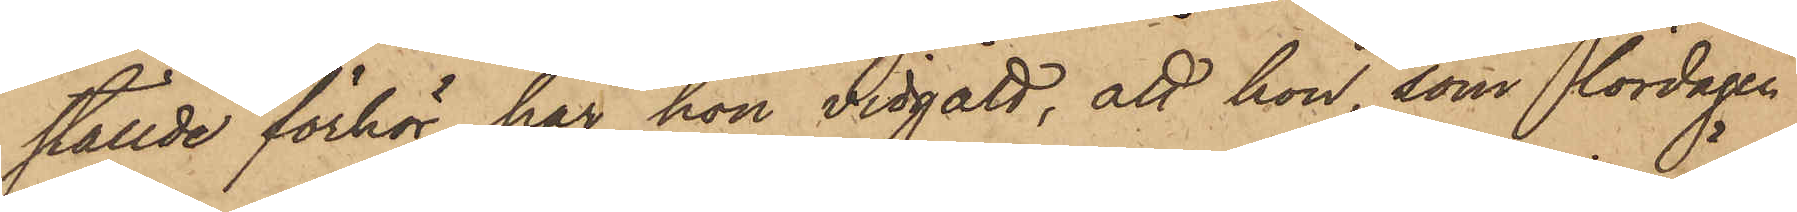ställde förhör, har hon vidgått, att hon, som lördagen
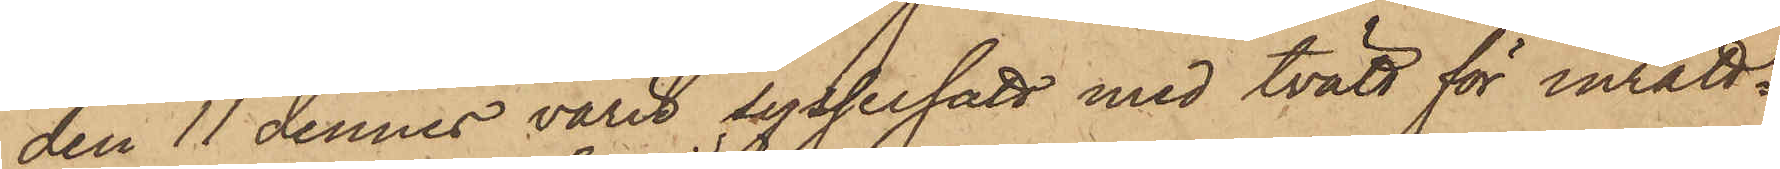den 11 dennes varit sysselsatt med tvätt för inrätt¬
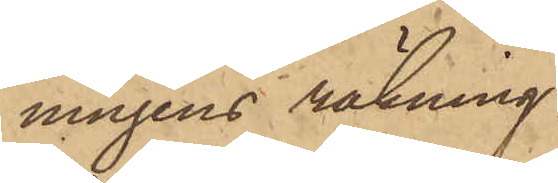ningens räkning
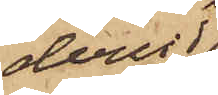derur
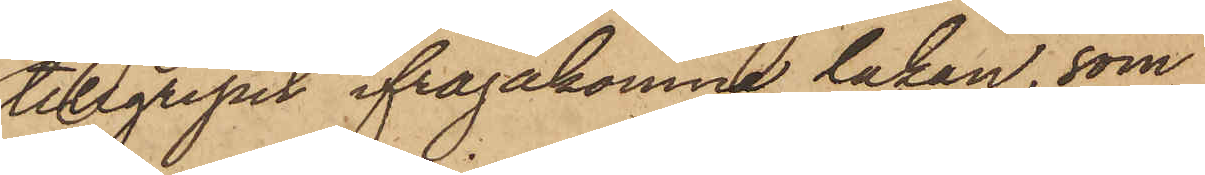tillgripit ifrågakomne lakan, som
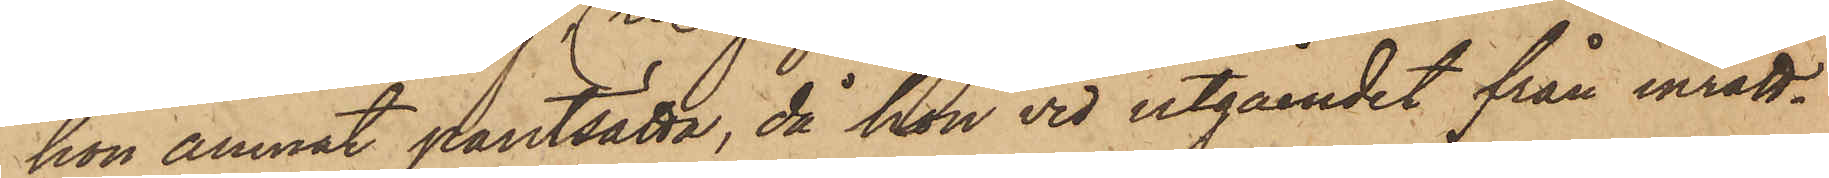hon ämnat pantsätta, då hon vid utgåendet från inrätt¬
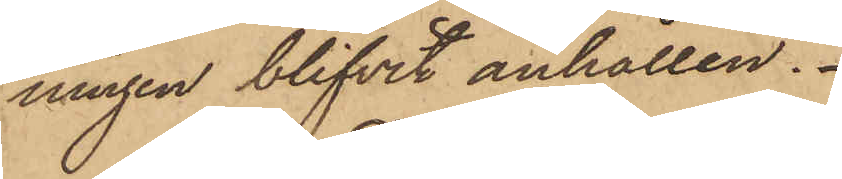ningen blifvit anhållen.
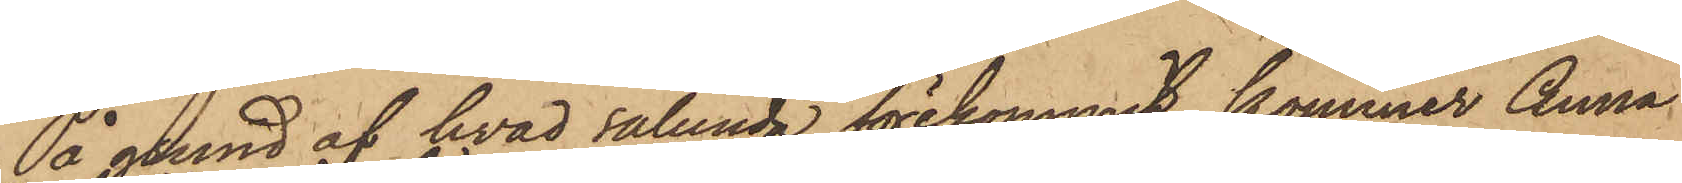På grund af hvad sålunda förekommit, kommer Anna
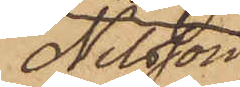Nilsson
